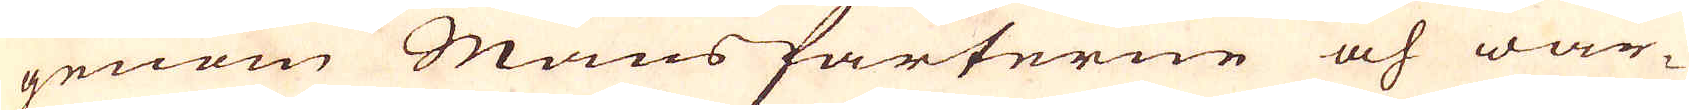genom Mansfarterne och war-
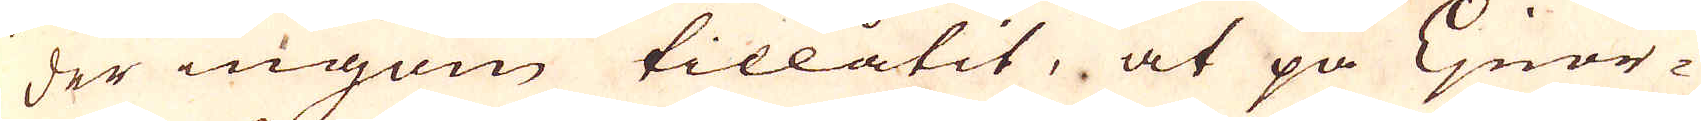der ingom tillåtit, at på Ljnor-
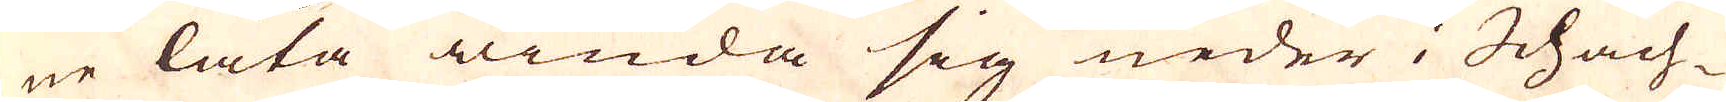ne låta winda sig neder i Schach-
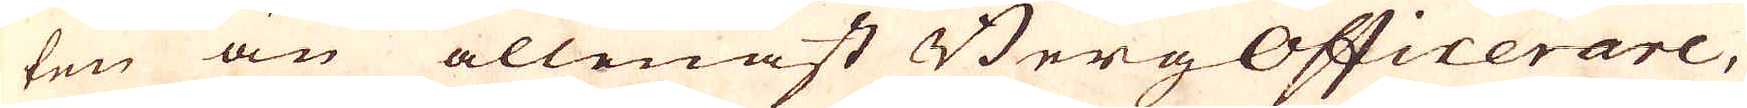ten än allenast BergOfficerare,
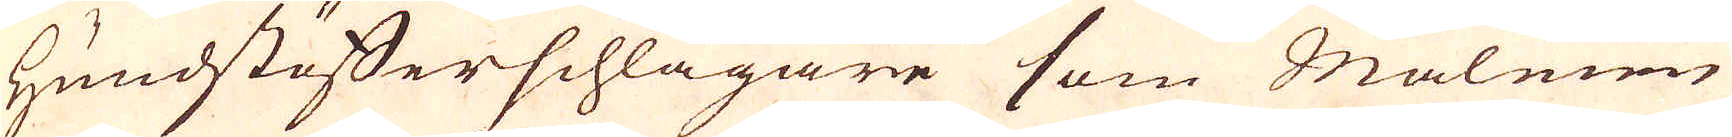Hundstäfferschlagare som Malmen
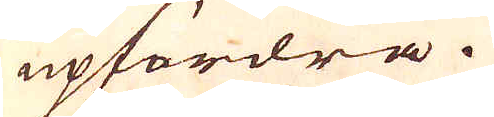upfordra.
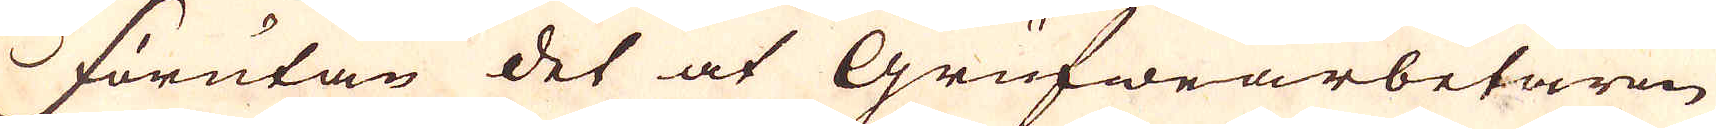Förutan det at Grufwearbetaren
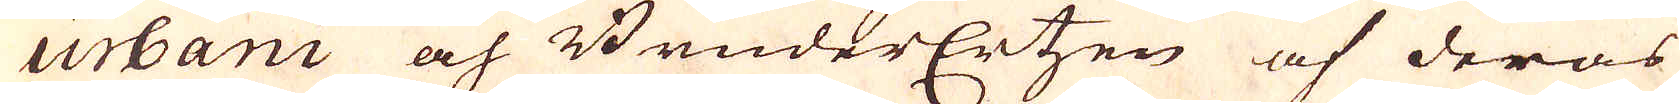urbani och BruderErtzen af deras
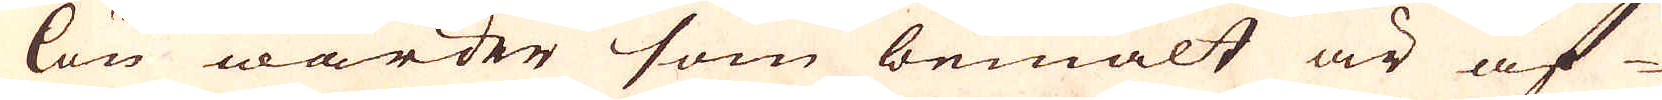lön warder som bemält är af-
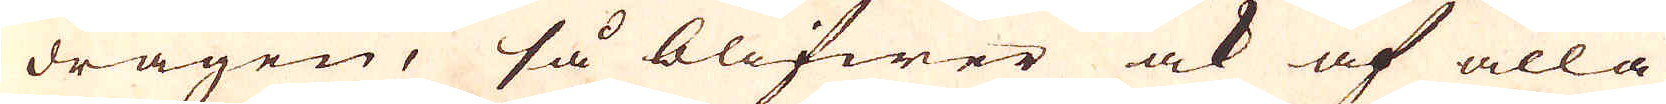dragen, så blifwer ock af alla
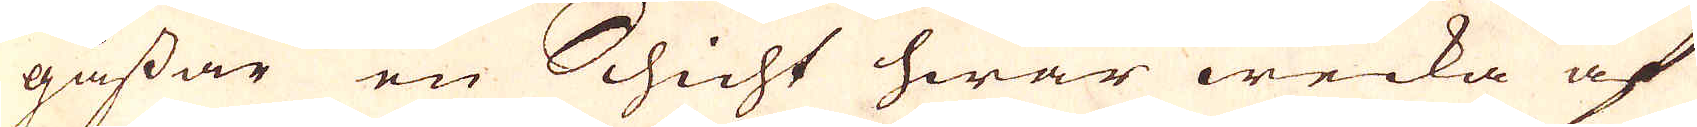gåssar en Schicht hwar wecka af
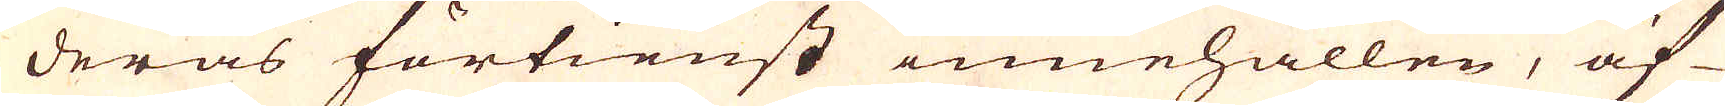deras förtienst innehållen, äf-
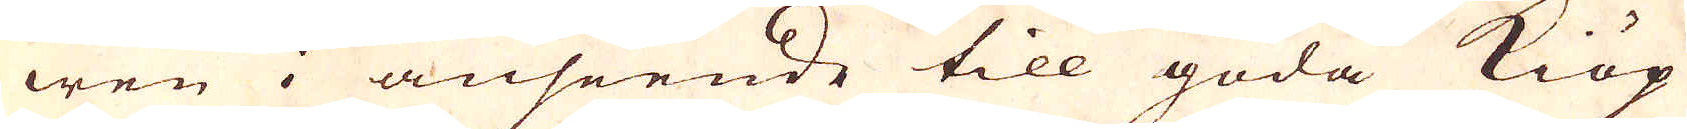wen i anseende till goda kiöp
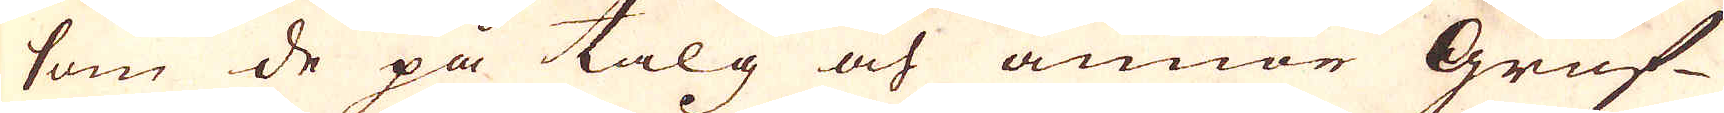som de på talg och annor Gruf-
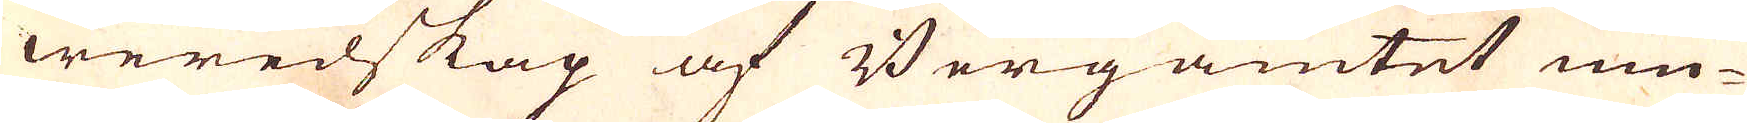weredskap af Bergamtet niu-
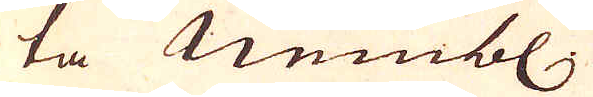ta nembl.
